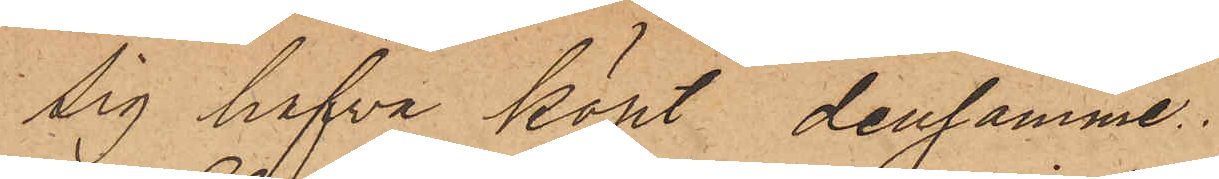sig hafva köpt densamme.
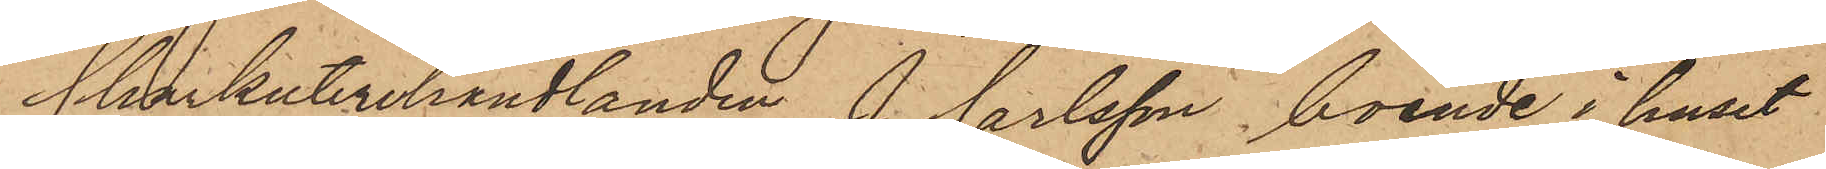Charkuterihandlanden J. Carlsson boende i huset
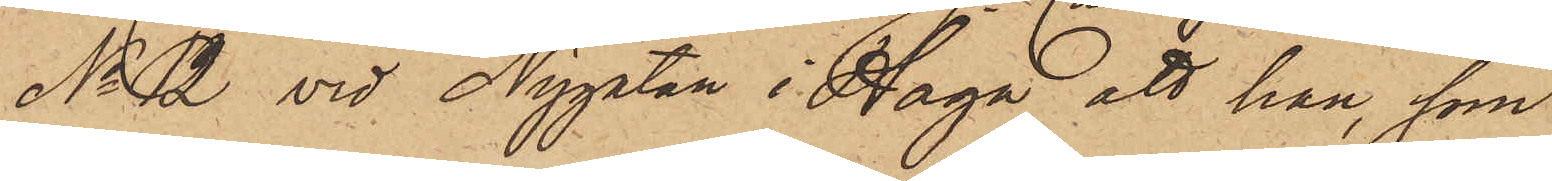No 12 vid Nygatan i Haga, att han, som
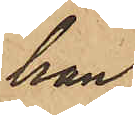han
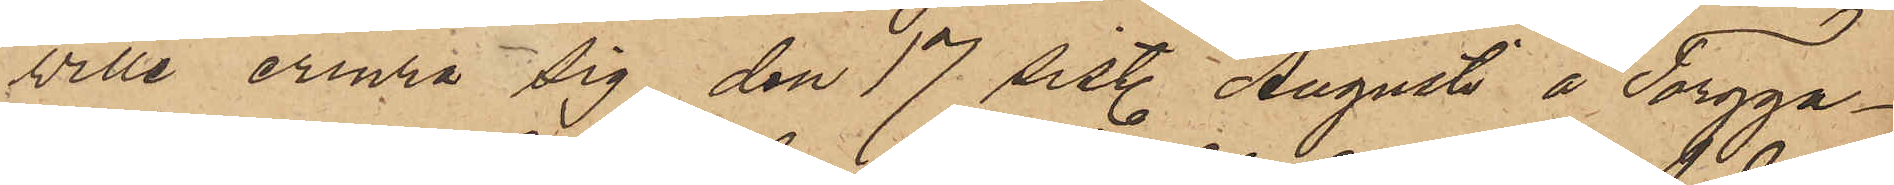ville erinra sig den 17 sistl. Augusti å Torgga¬
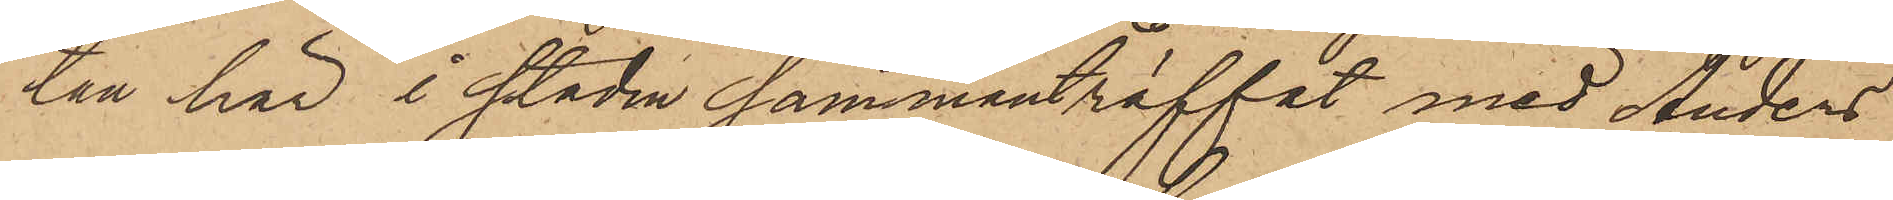ten här i staden sammanträffat med Anders
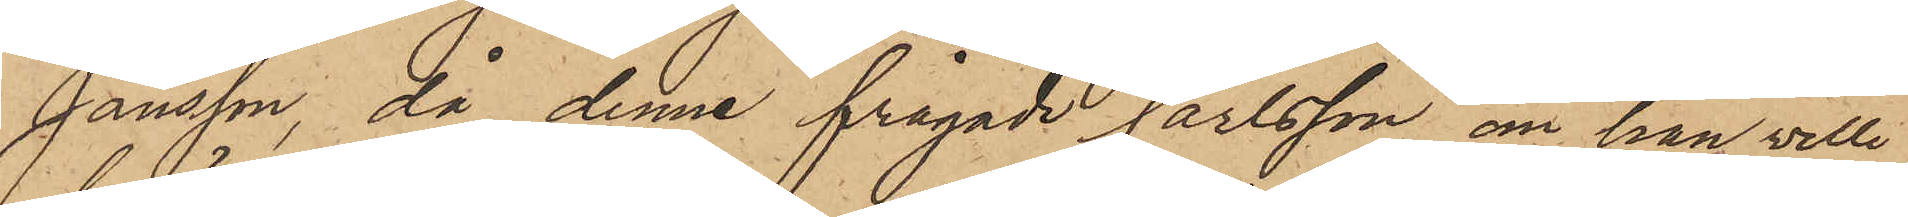Jansson, då denne frågade Carlsson om han ville
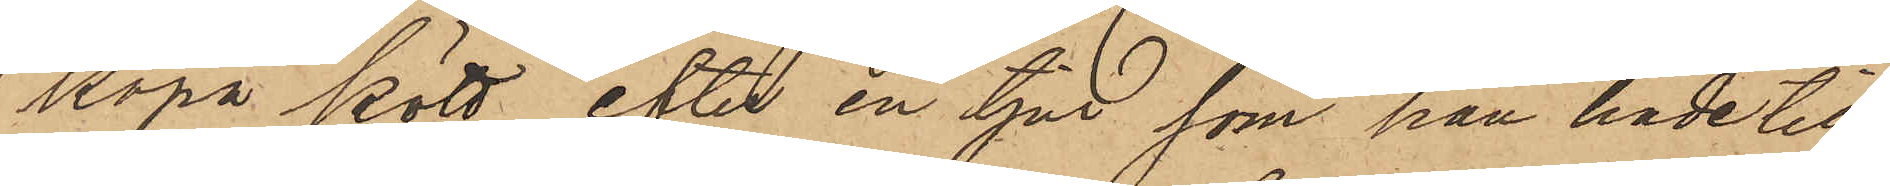köpa kött efter en tjur, som han hade till
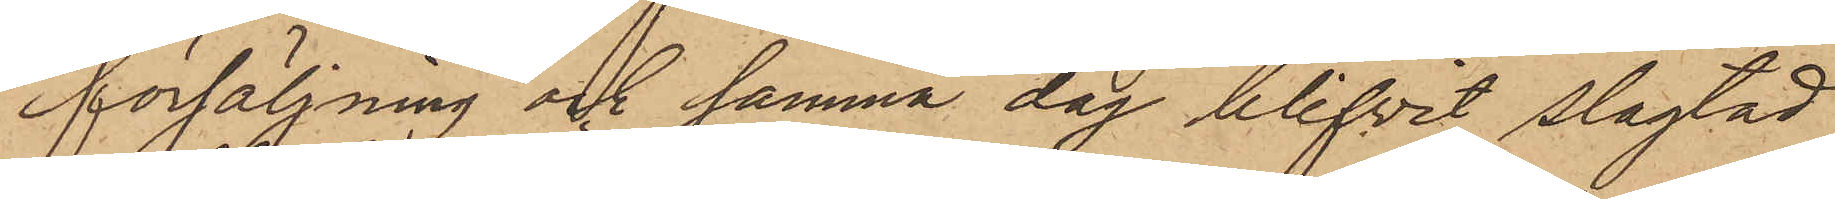försäljning och samma dag blifvit slagtad
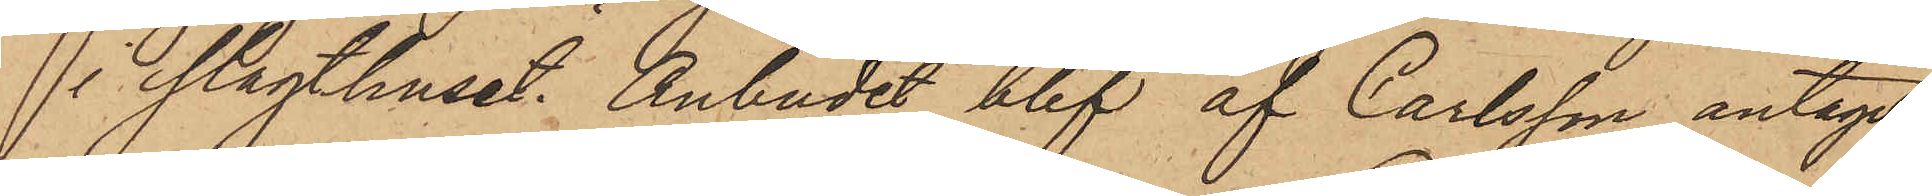i Slagthuset. Anbudet blef af Carlsson antaget
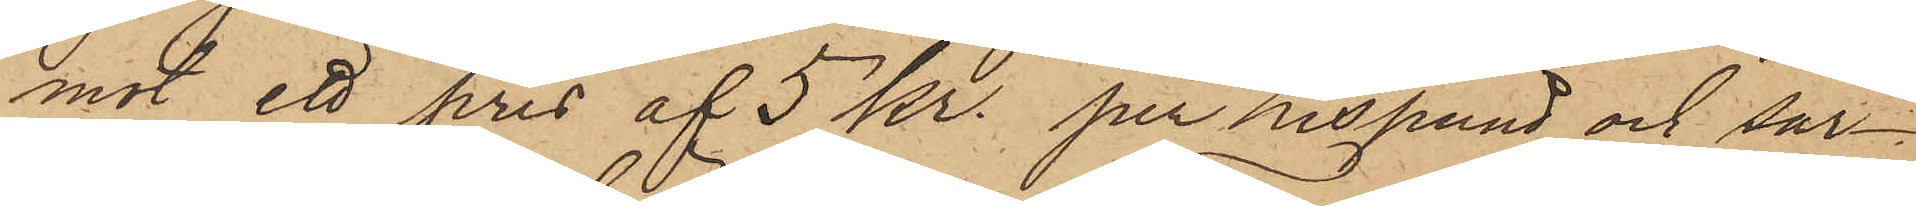mot ett pris af 5 kr. per Lispund och sär¬
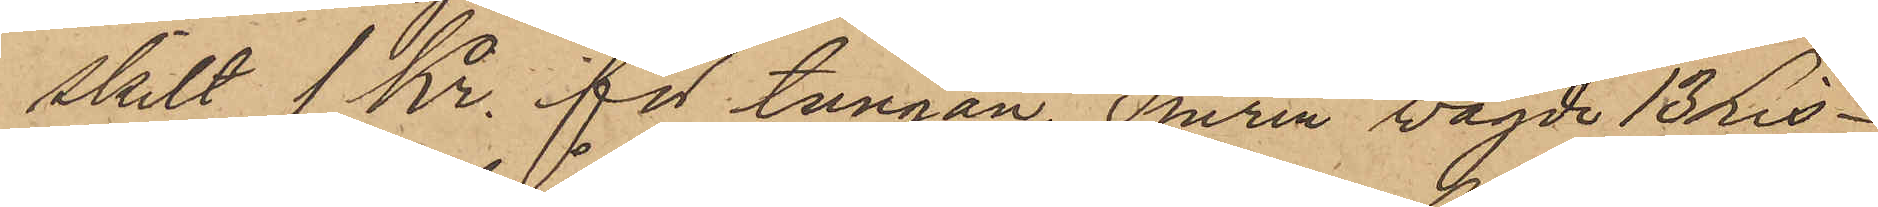skilt 1 Kr. för tungan. Tjuren vägde 13 Lis¬
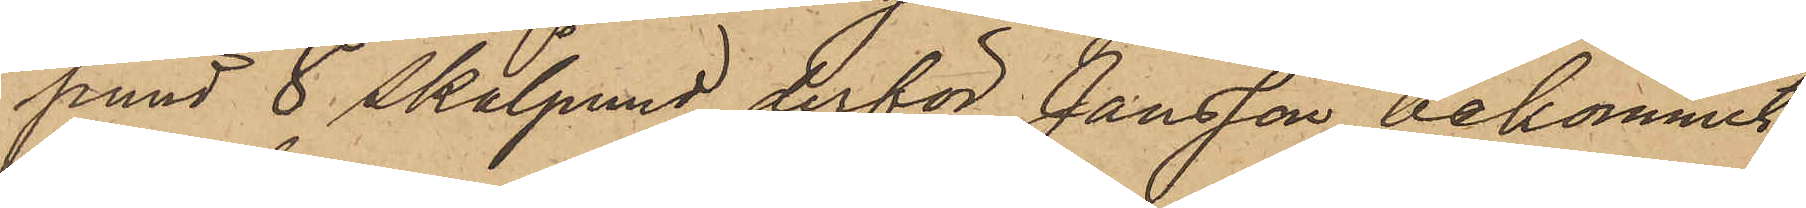pund 8 skålpund derför Jansson bekommit
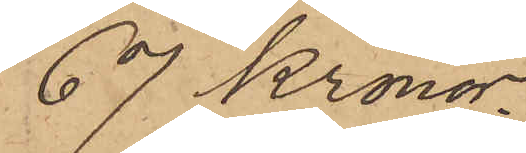67 Kronor.
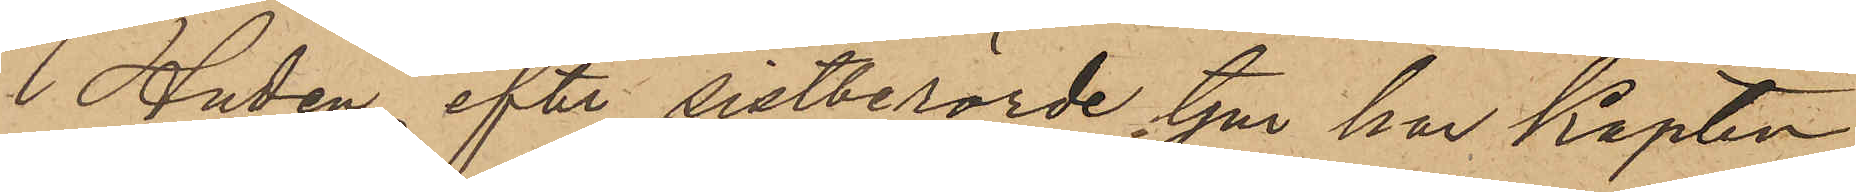Huden efter sistberörde tjur har Kapten
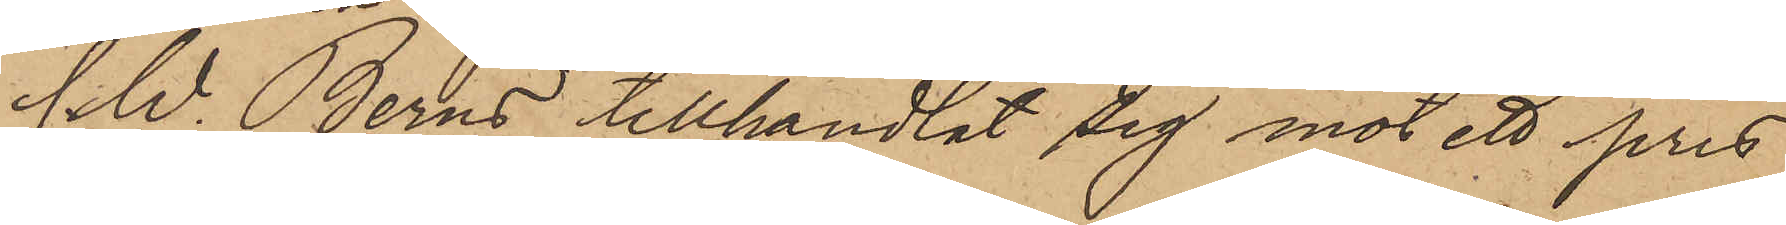C. W. Berns tillhandlat sig mot ett pris
